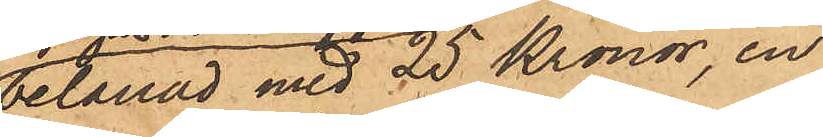belånad med 25 Kronor, en
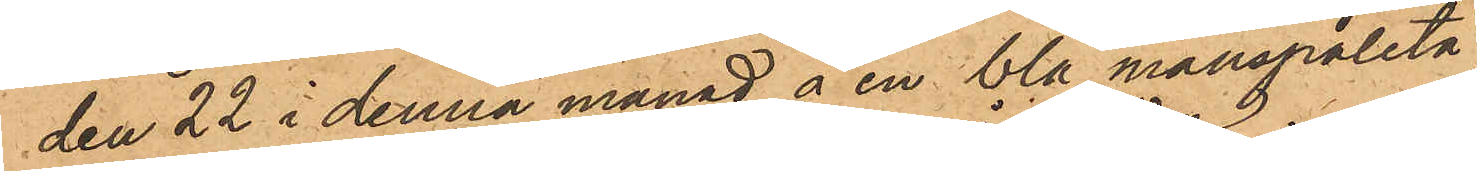den 22 i denna månad å en blå manspaletå
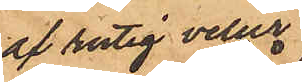af rutig velur
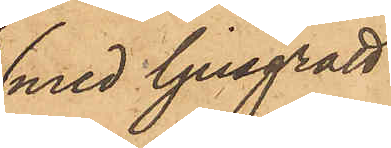med ljusgrått
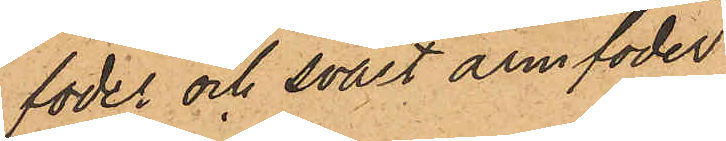foder och svart anmfoder
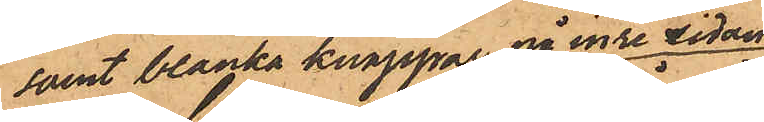samt blanka knappar på inre sidan
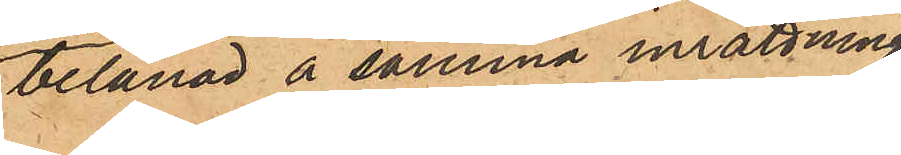belånad å samma inrättning
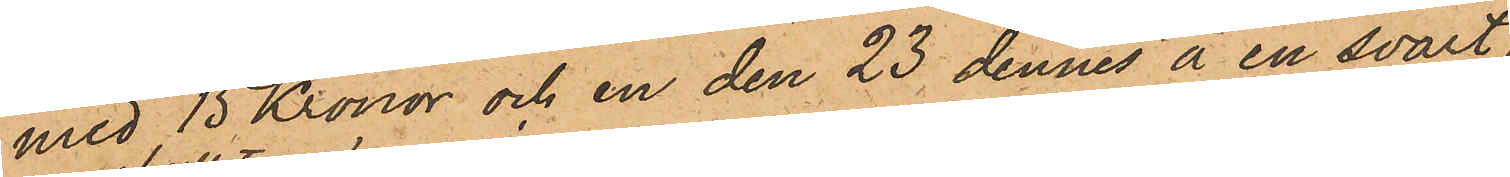med 15 Kronor och en den 23 dennes å en svart
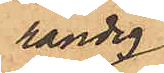randig
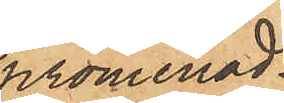promenad¬
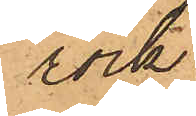rock
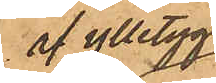af ylletyg
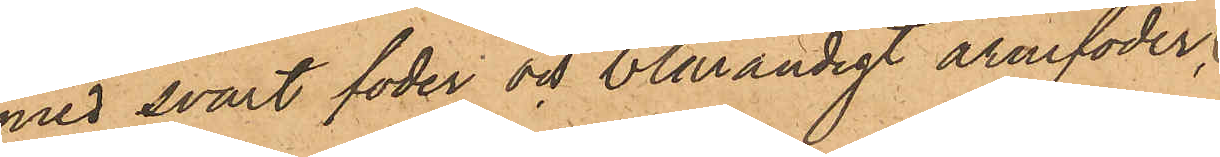med svart foder och blårandigt armfoder;
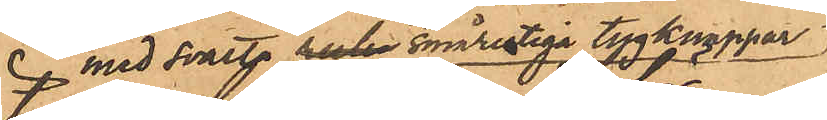med svarta smårutiga tygknappar
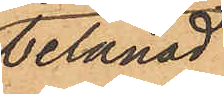belånad
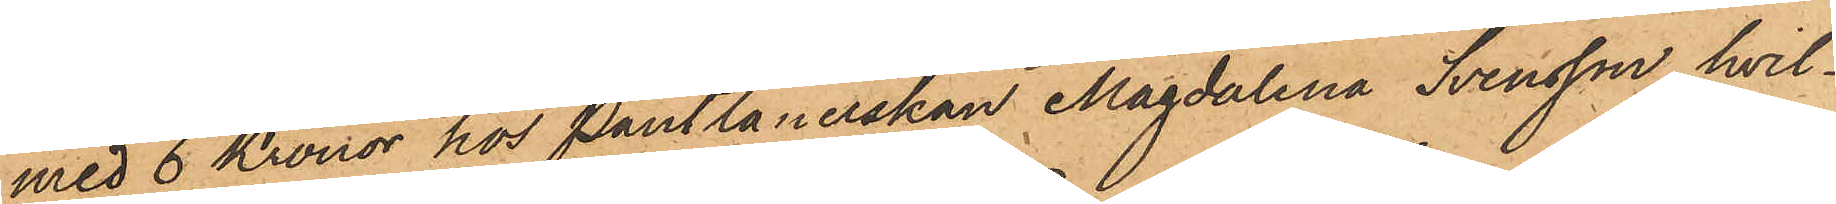med 6 Kronor hos Pantlånerskan Magdalena Svensson, hvil¬
